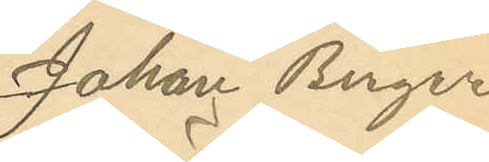Johan Birger
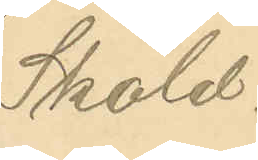Sköld.
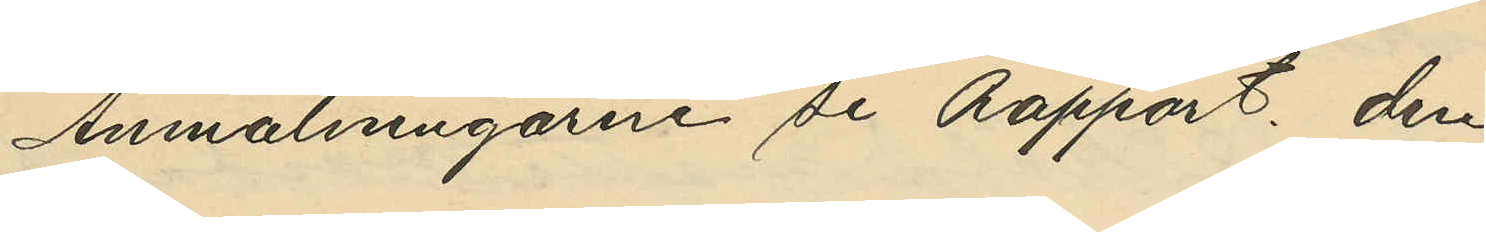Anmälningarne se Rapport, den
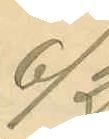6/2.
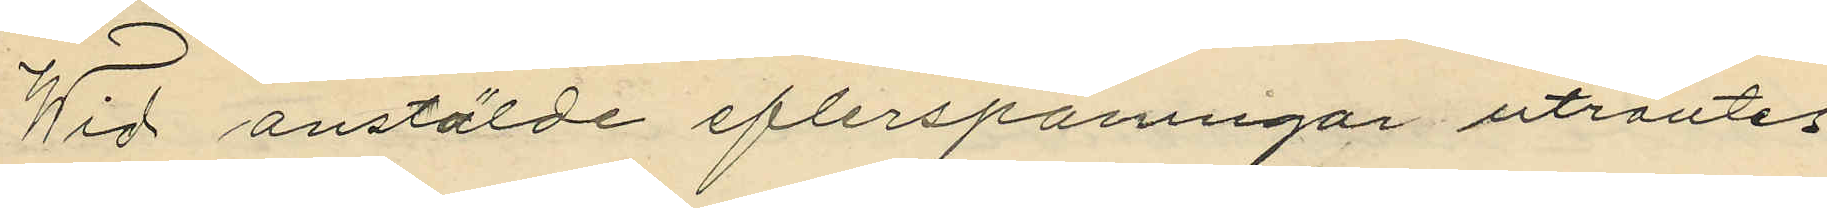Wid anstälde eflerspaningar utröntes
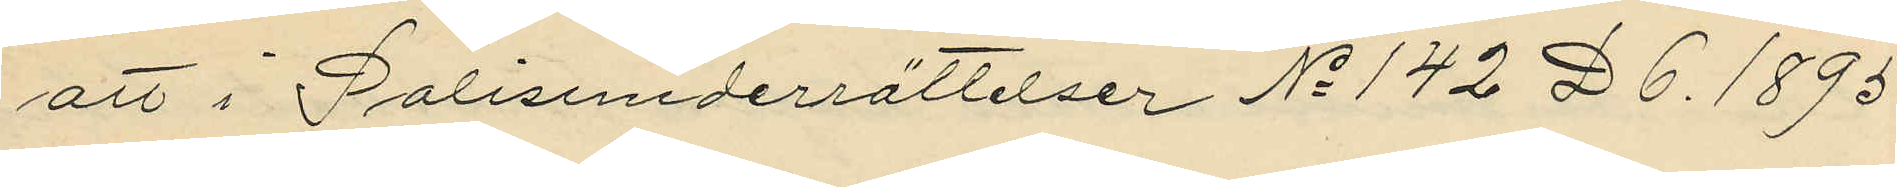att i Polisunderrättelser No 142 D 6. 1895.
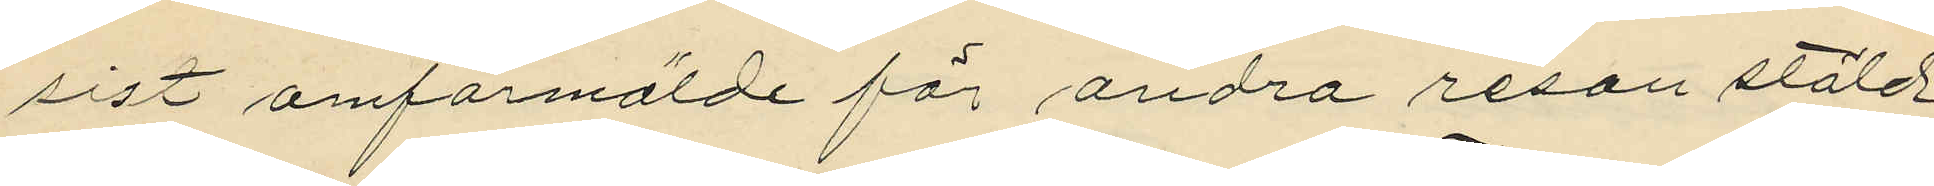sist omförmälde för andra resan stöld
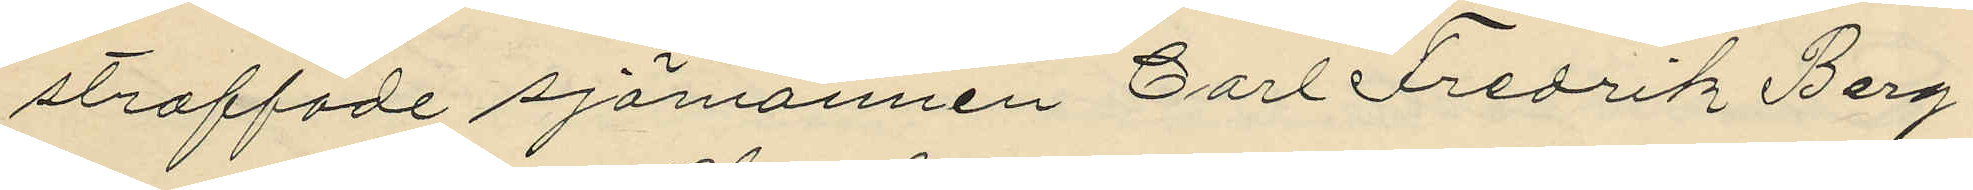straffade sjömannen Carl Fredrik Berg¬
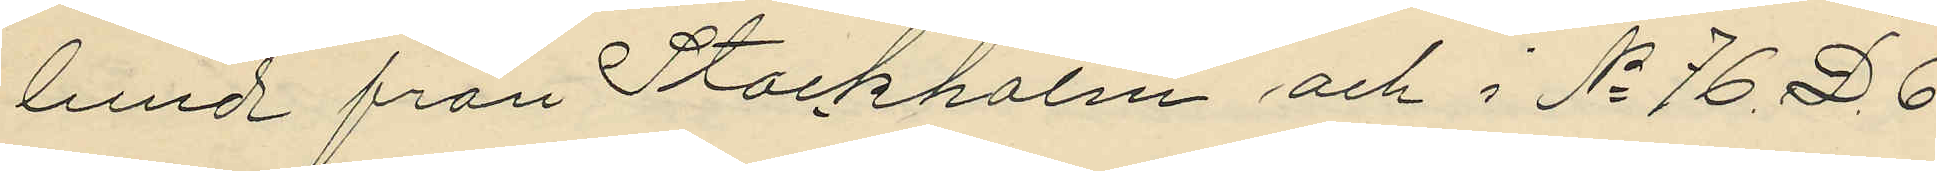lund från Stockholm och i No 76. D. 6
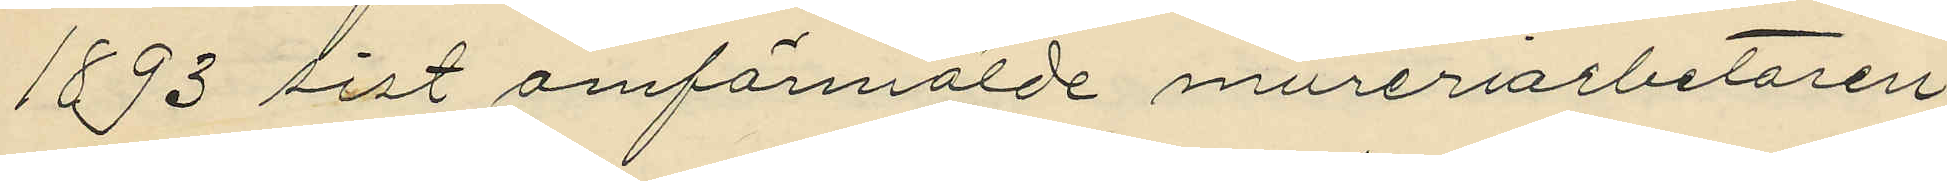1893 sist omförmälde mureriarbetaren
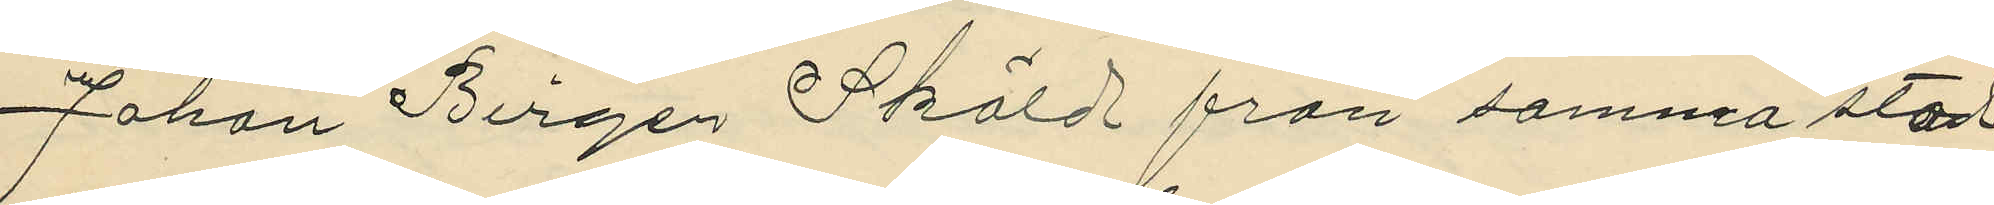Johan Birger Sköld från samma stad
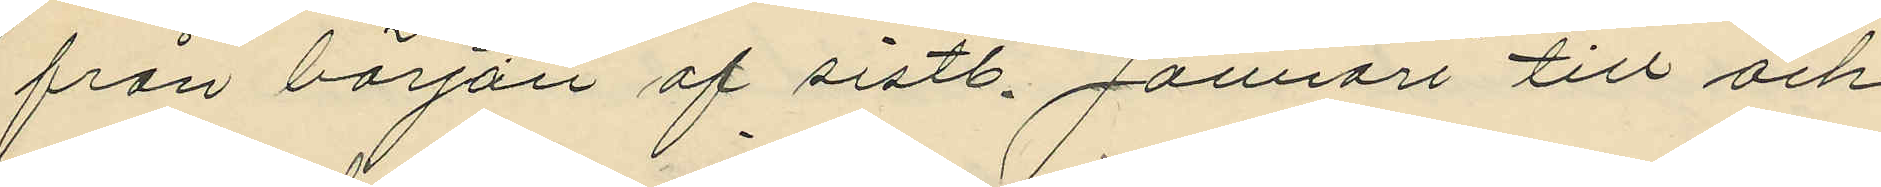från början af sistl. Januari till och
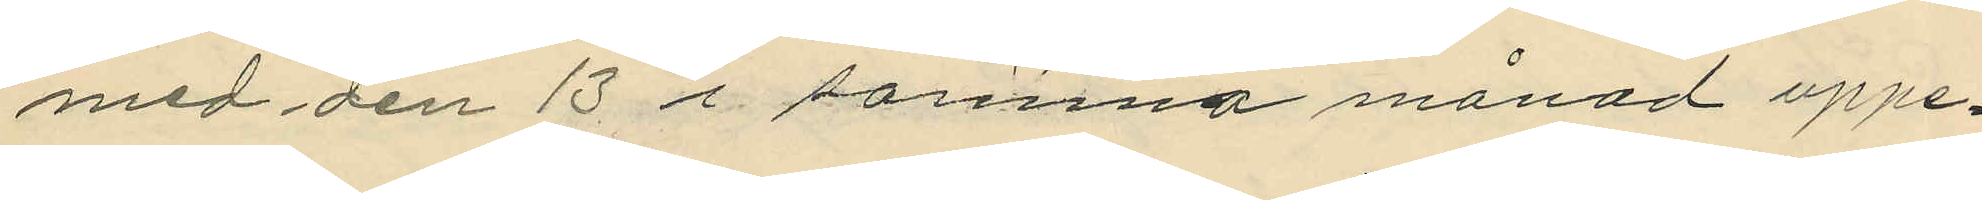med den 13 i samma månad uppe¬
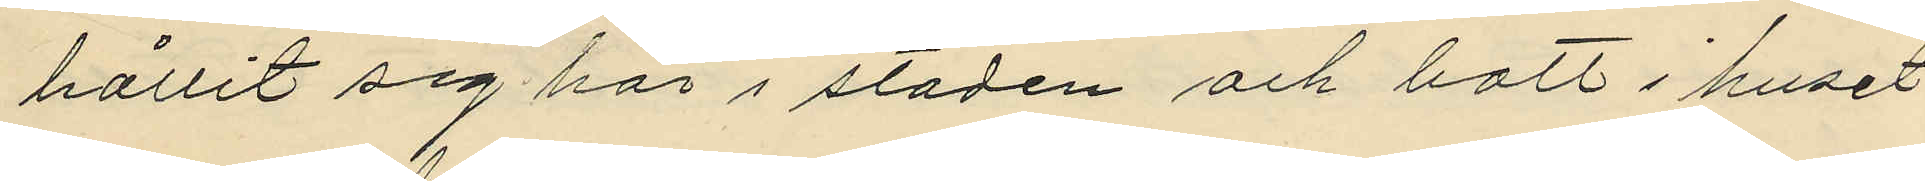hållit sig här i staden och bott i huset
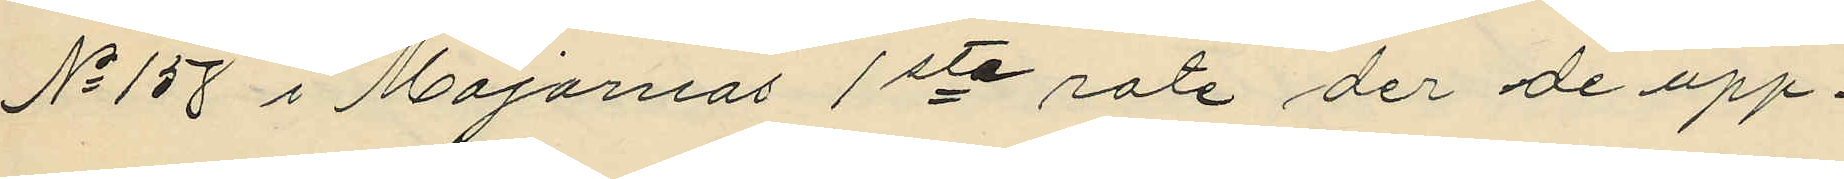No 158 i Majornas 1sta rote der de upp¬
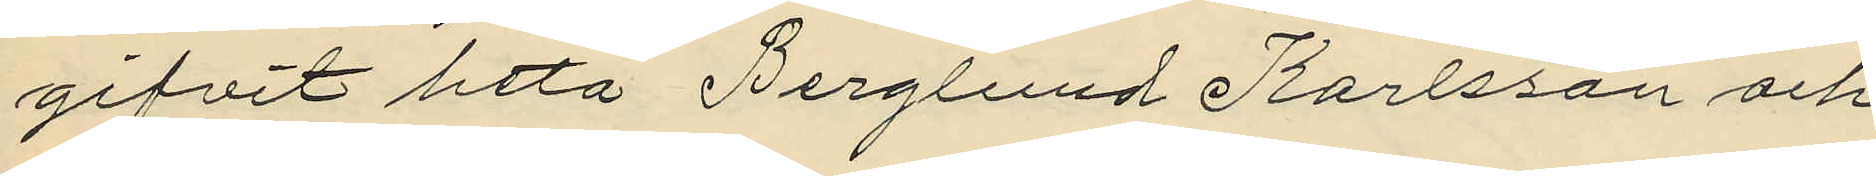gifvit heta Berglund Karlsson och
